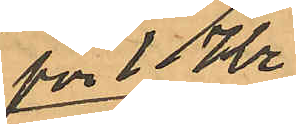för 1 Kr
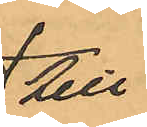till
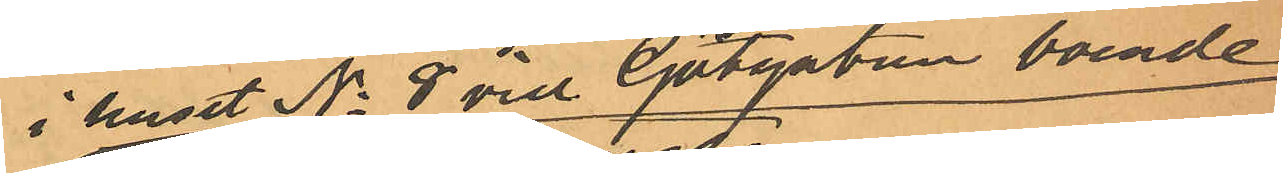i huset No 8 vid Götgatan boende
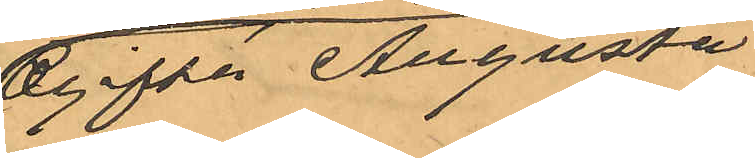Ogifta Augusta
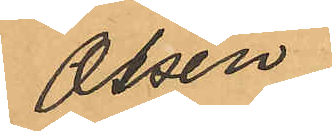Olsén
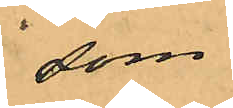som
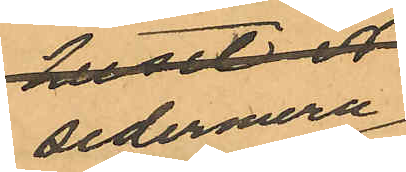sedemera
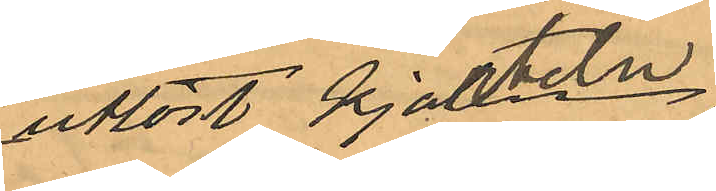utlöst kjorteln,
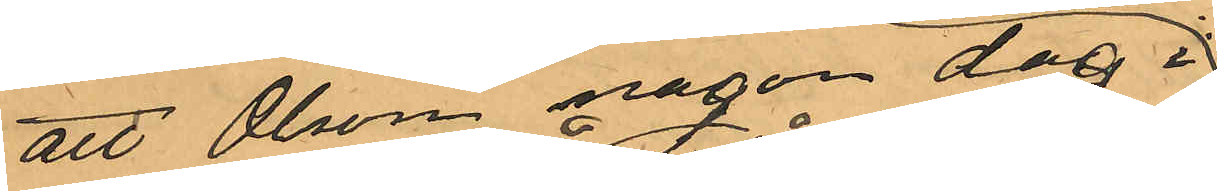att Olsson någon dag i
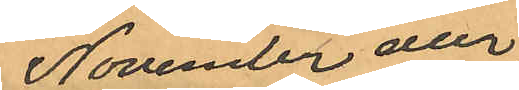November eller
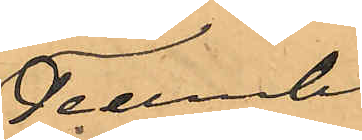December
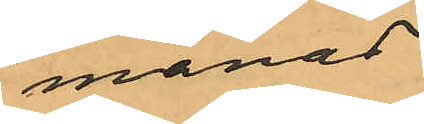månad
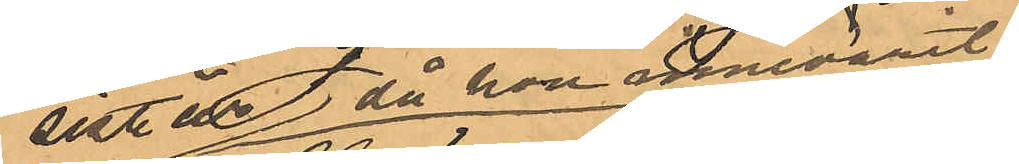sistl år, då hon innevarit
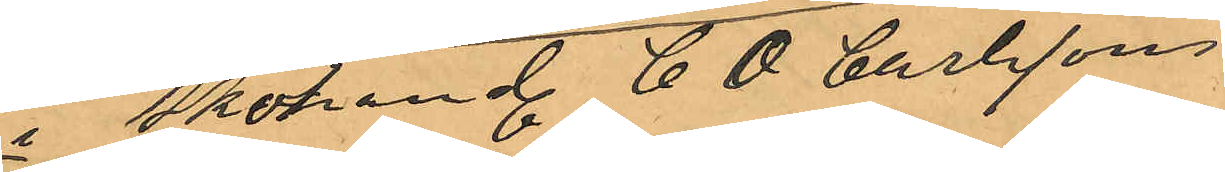i Skohand C. O. Carlssons
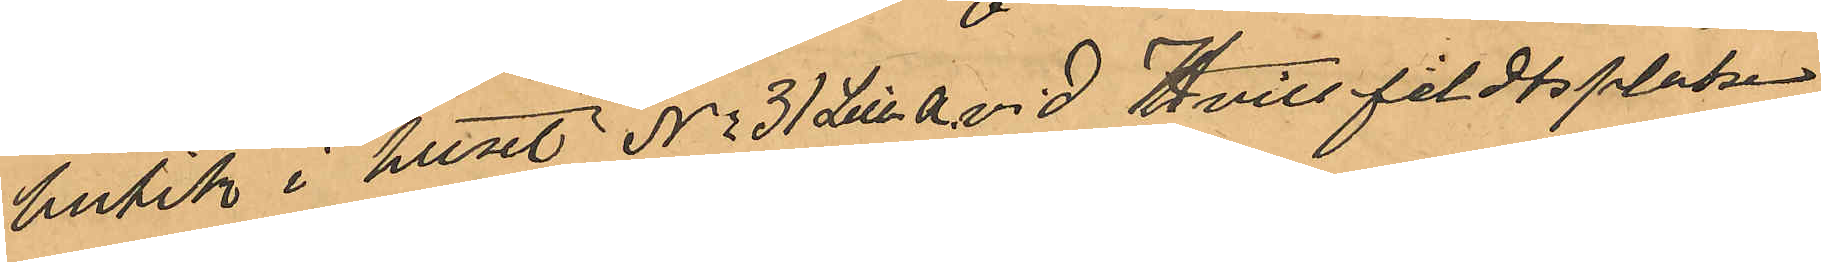butik i huset No 31 Litt a vid Hvitfeldtsplatsen
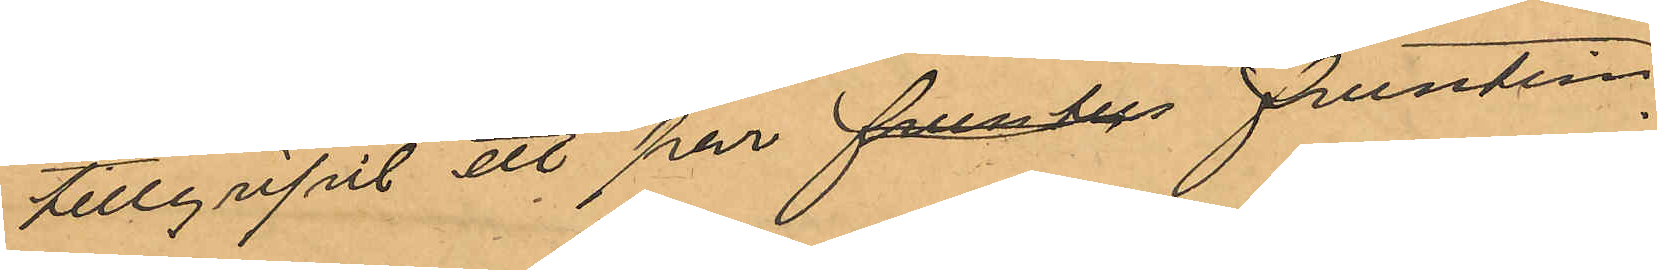tillgripit ett par farnbys fruntim¬
